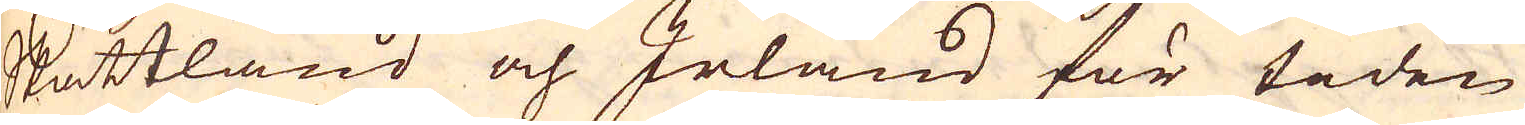Skottland och Irland för tiden
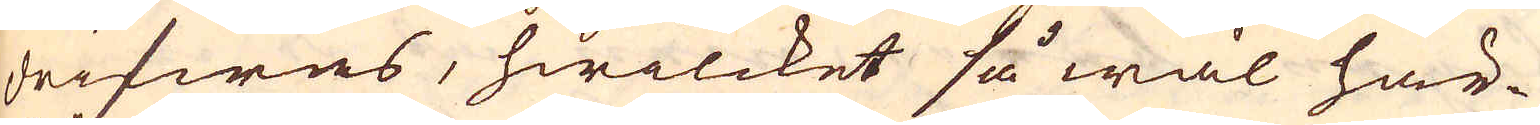drifwas, hwilcket så wäl här-
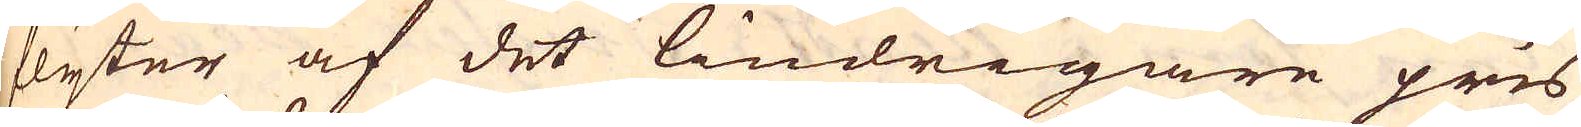flyter af det lindrigare pris
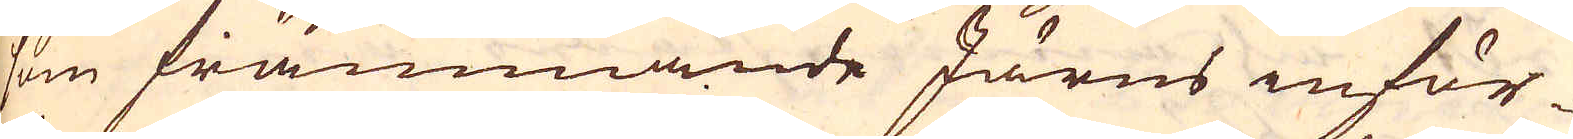som främmande Järns inför-
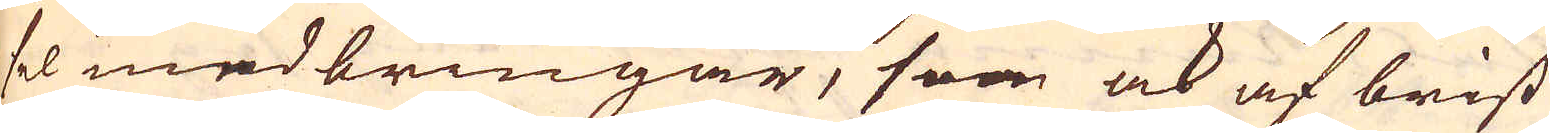sel medbringar, som ock af brist
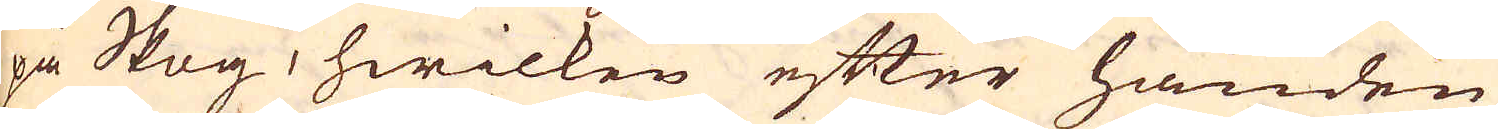på Skog, hwilken efter handen
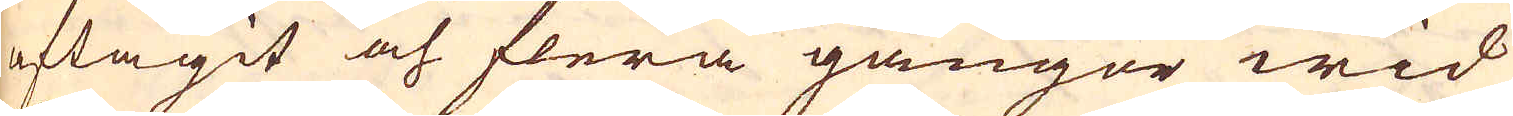aftagit och flera gångor wid
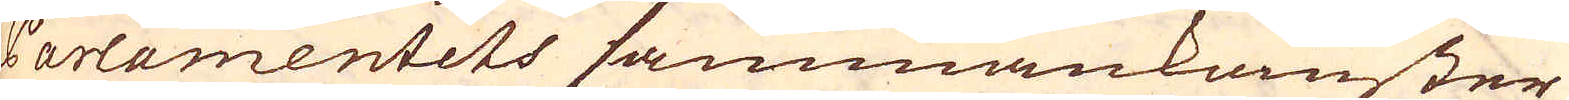Parlamentets sammankomster
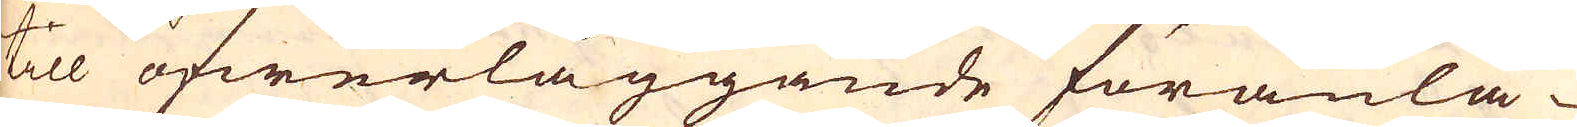till öfwerläggande föranlå-
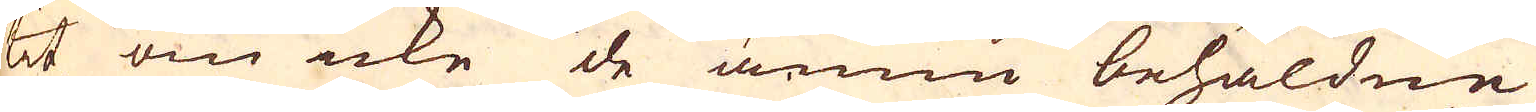tit om icke de ännu behåldne
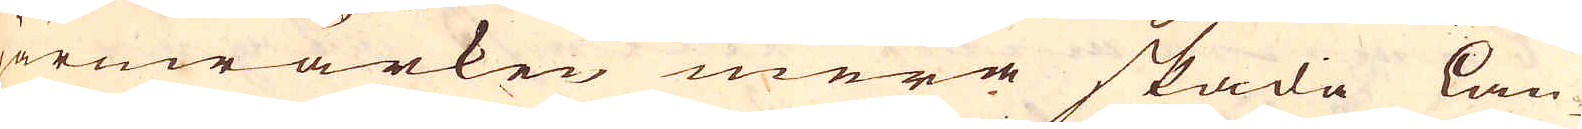järnwärken mera skada Lan-
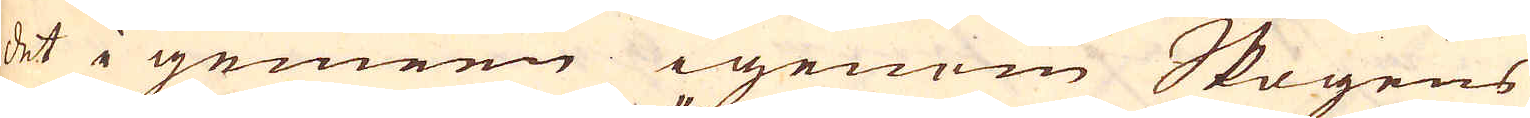det i gemeen igenom Skogens
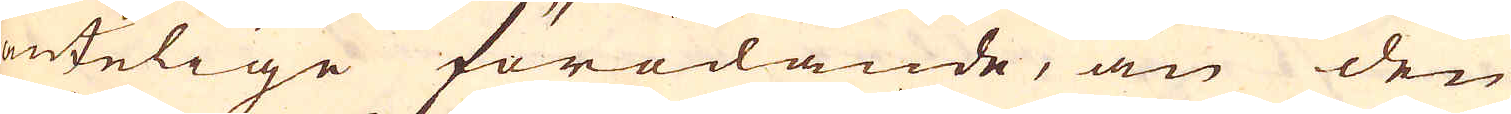äntelige förödande, än den
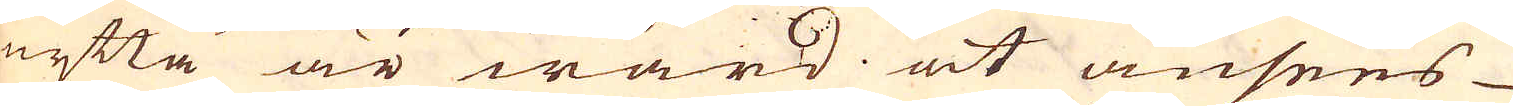nytta är wärd at ansees
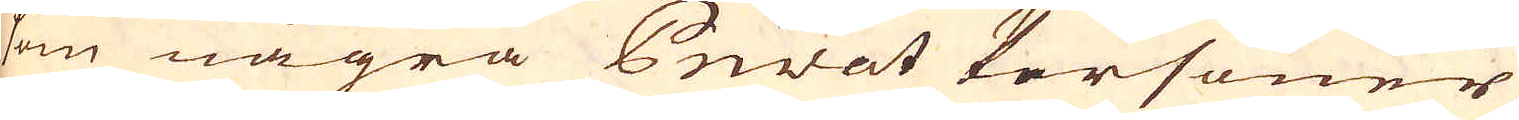som några Privat Personer
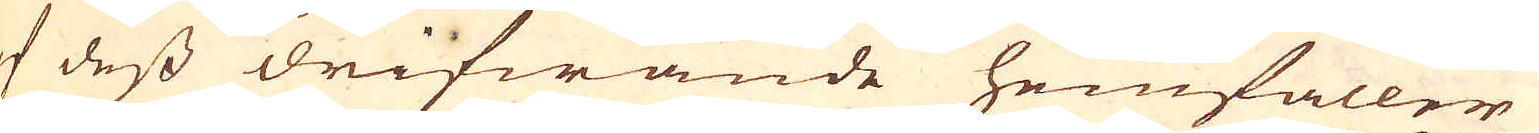af dess drifwande hemfaller,
